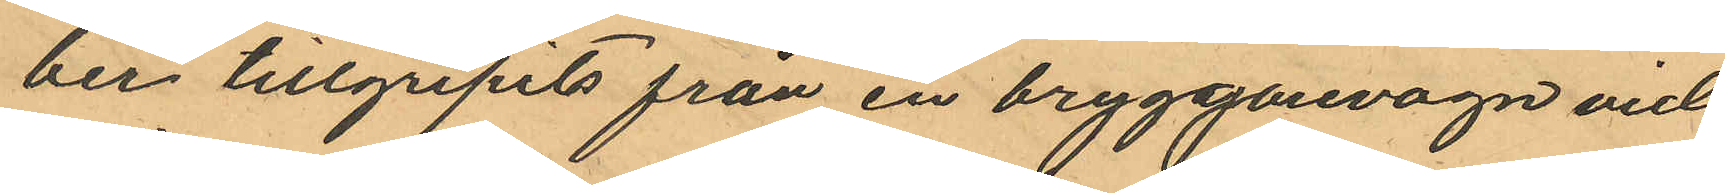ber tillgripits från en brygggarevagn vid
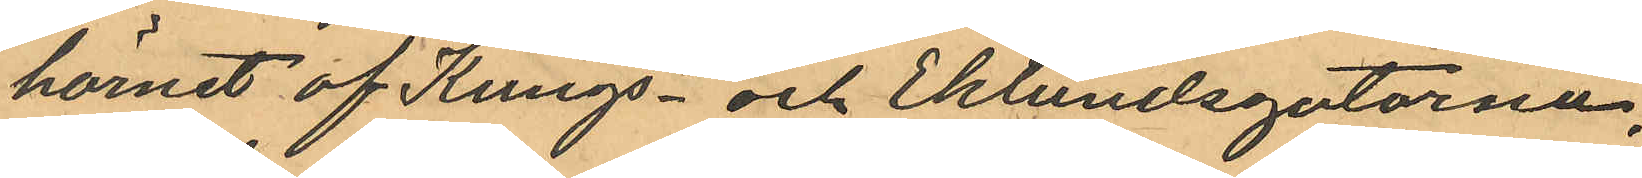hörnet af Kungs- och Eklundsgatorna,
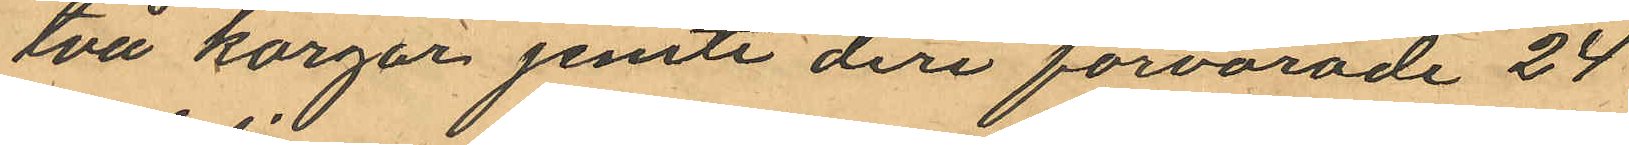två korgar jemte deri förvarade 24
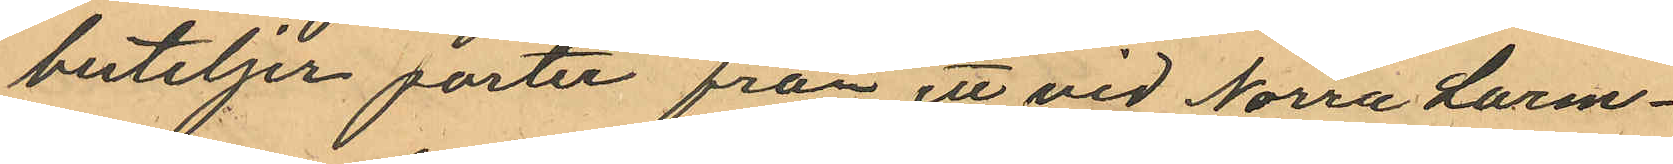buteljer porter från ett vid Norra Larm¬
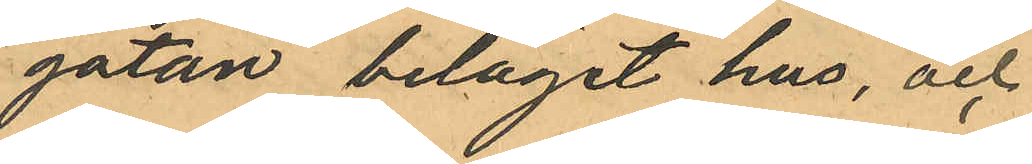gatan beläget hus, och
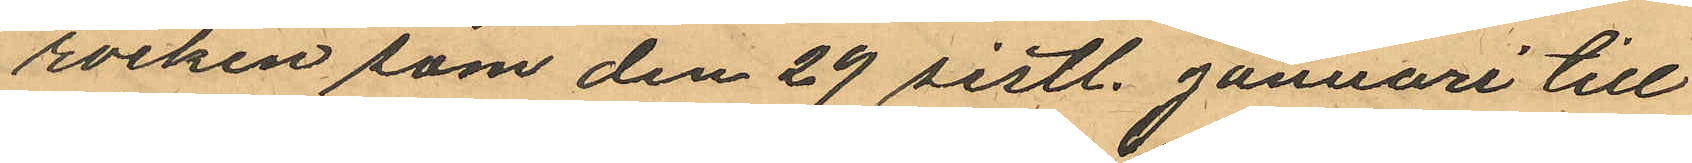rocken som den 29 sistl. Januari till
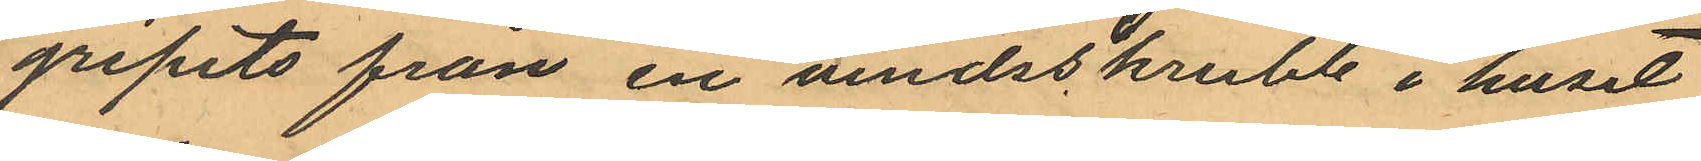gripits från en vindsskrubb i huset
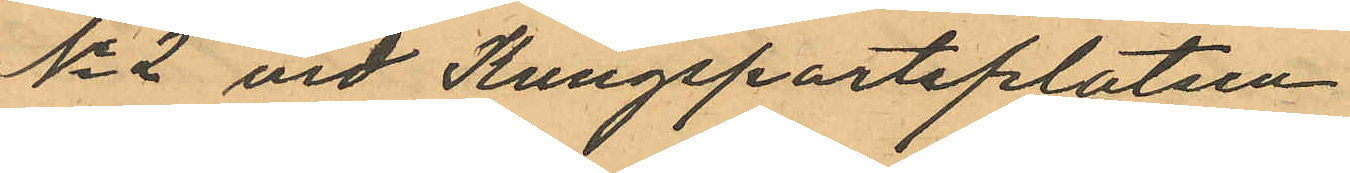No 2 vid Kungsportsplatsen
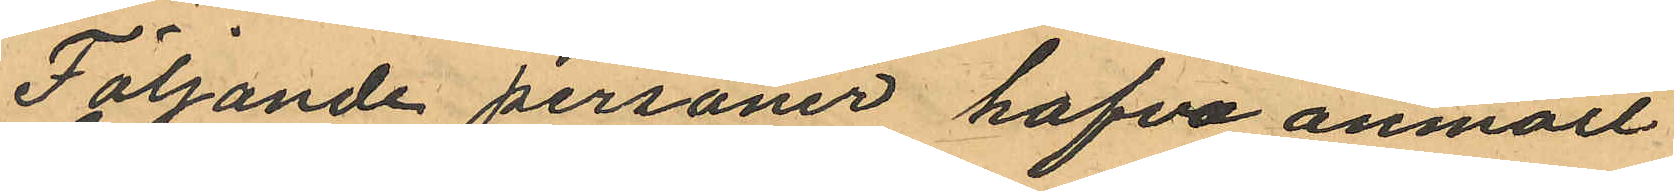Följande personer hafva anmält
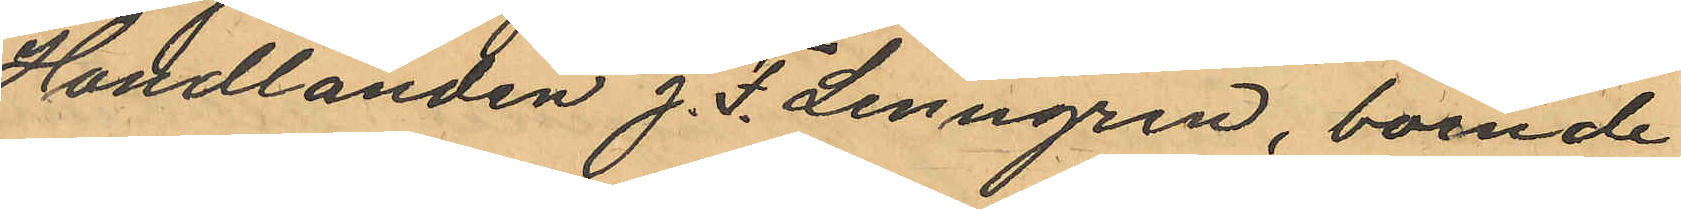Handlanden J. F. Lenngren, boende
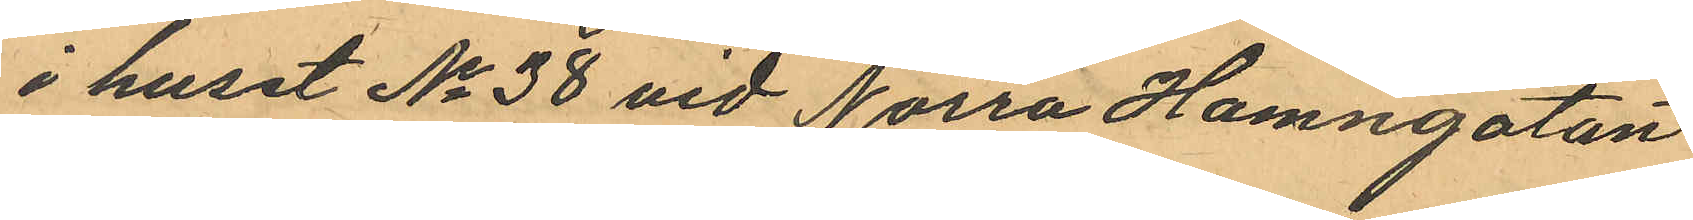i huset No 38 vid Norra Hamngatan
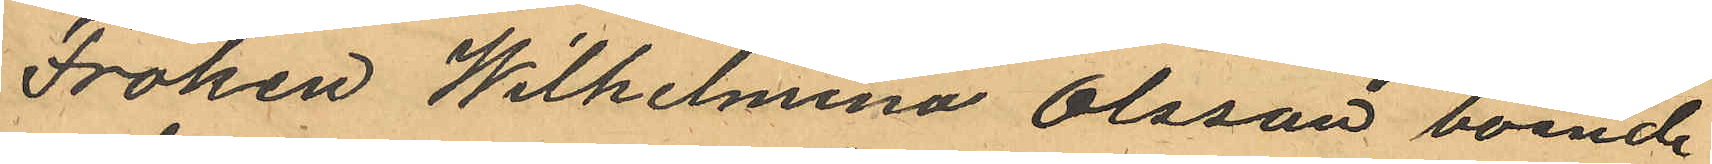Fröken Wilhelmina Olsson, boende
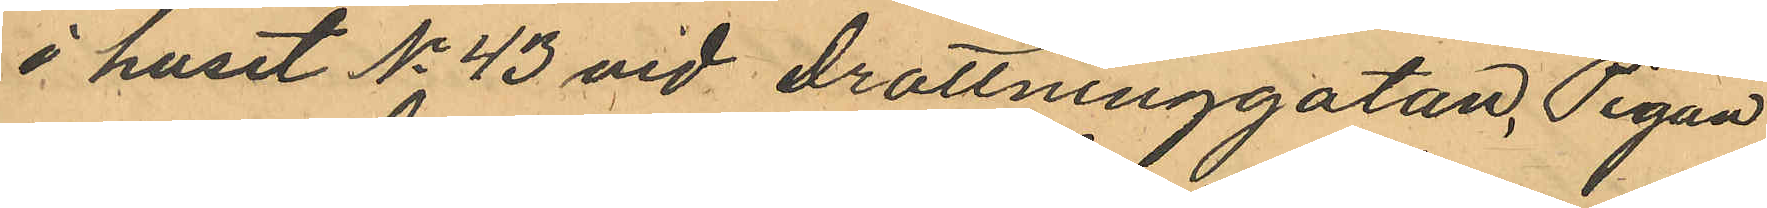i huset No 43 vid Drottninggatan, Pigan
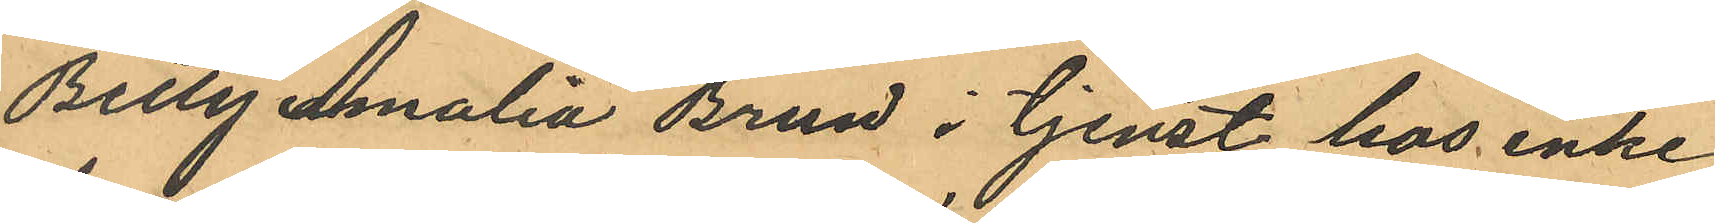Betty Amalia Brun i tjenst hos enke¬
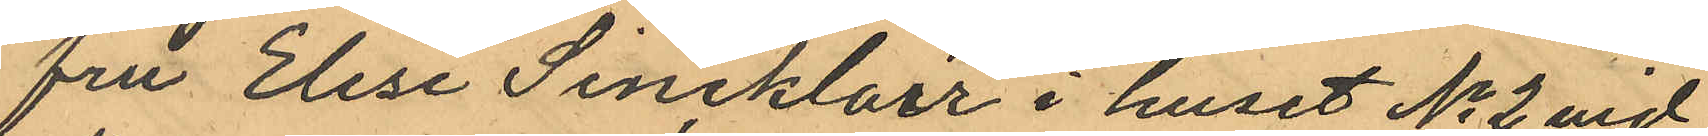fru Elise Sincklair i huset No 2 vid
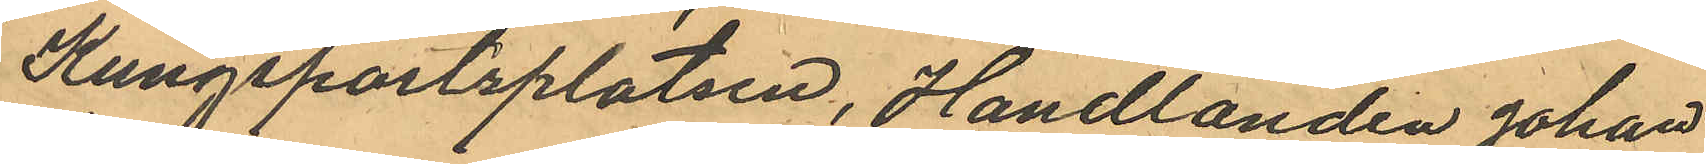Kungsportsplatsen, Handlanden Johan
